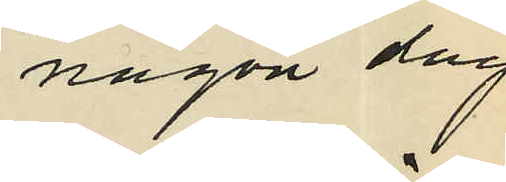någon dag
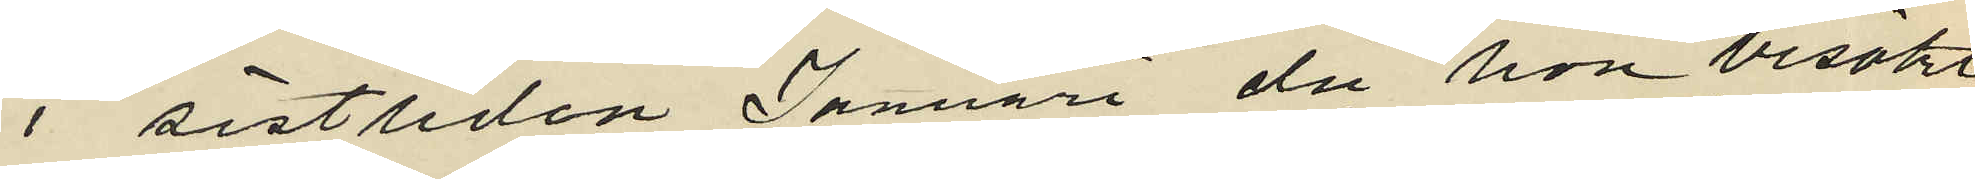i sistliden Januari då hon besökt
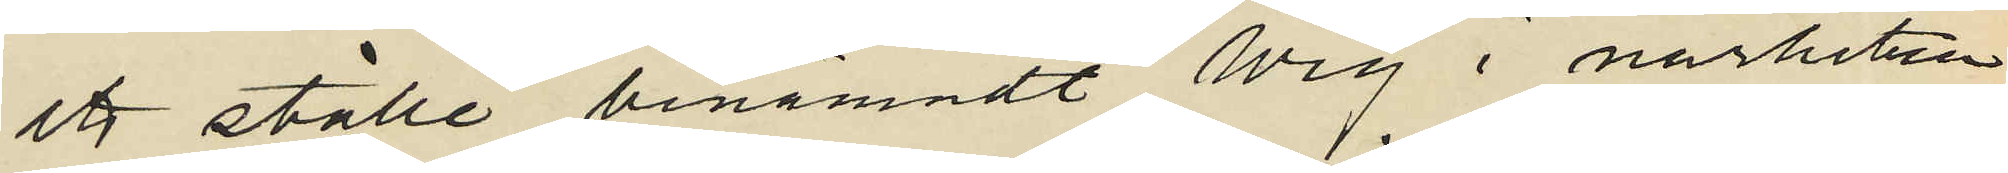ett ställe benämndt Wig i närheten
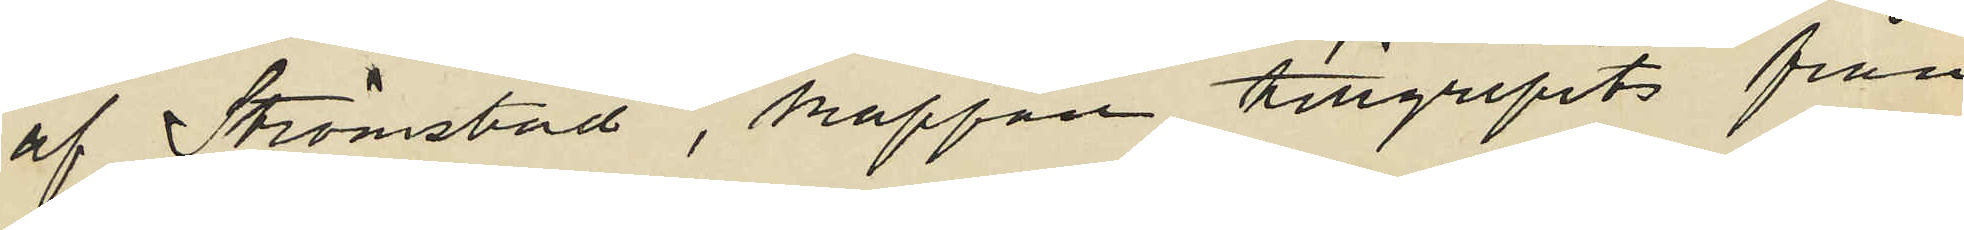af Strömstad, kappan tillgripits från
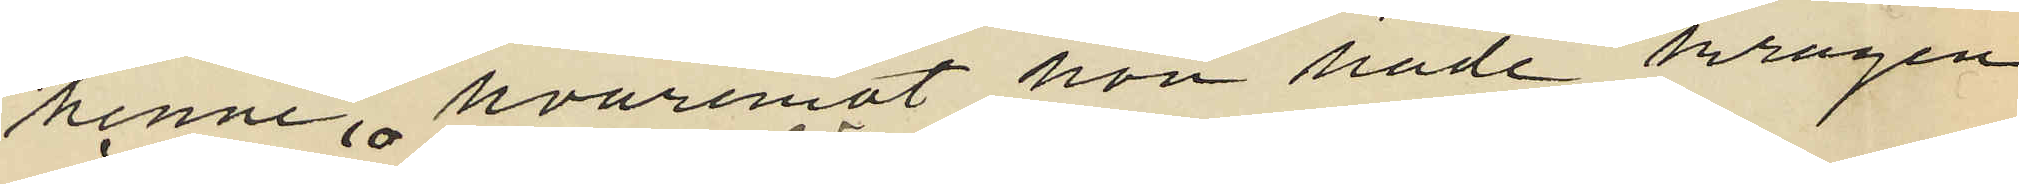henne, hvaremot hon hade kragen
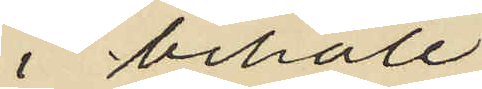i behåll.
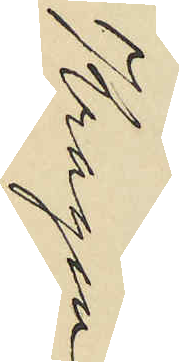Kragen
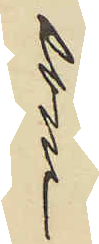som
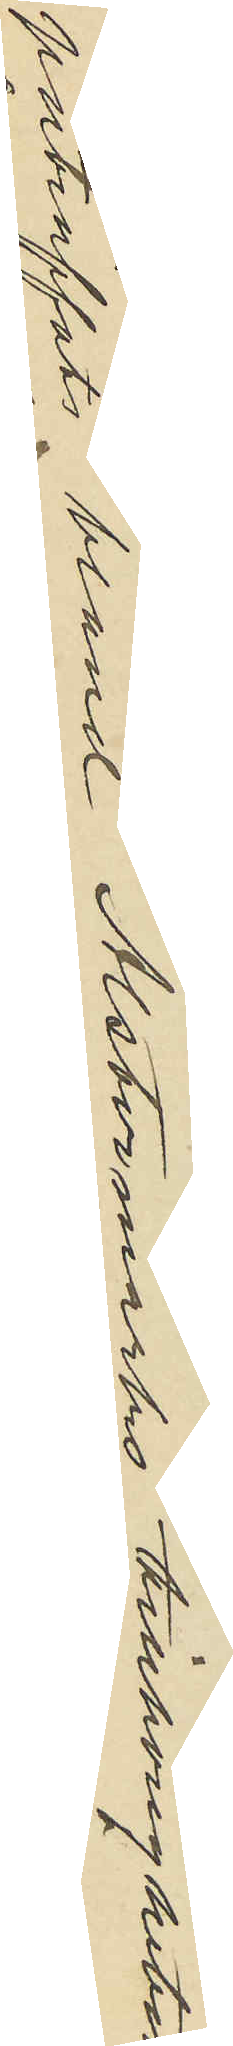påträffats bland Alstermarks tillhörigheter
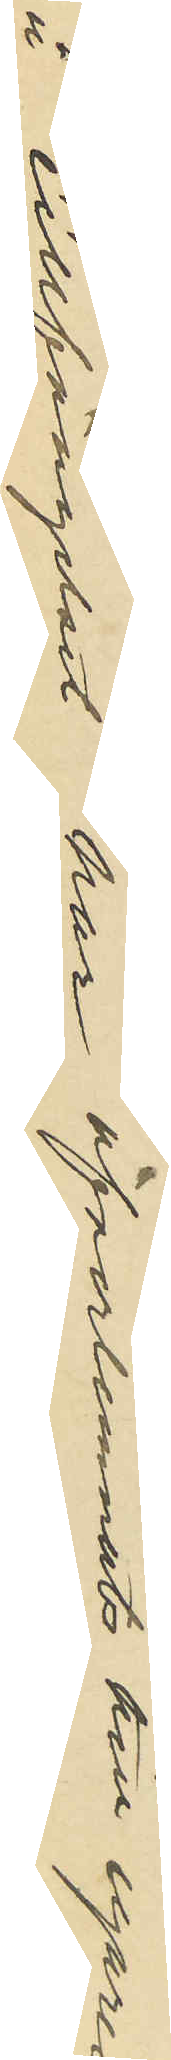å Cellfängelset har öfverlemnats till egaren
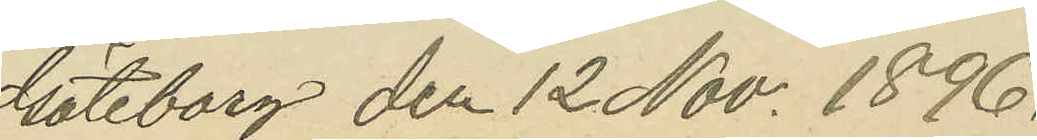Göteborg den 12 Nov. 1896.
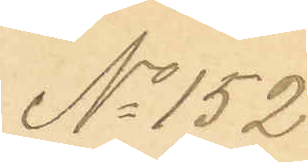No 152.
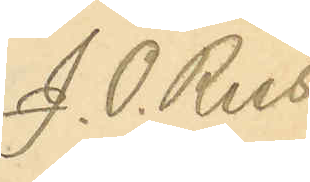J. O. Reis.
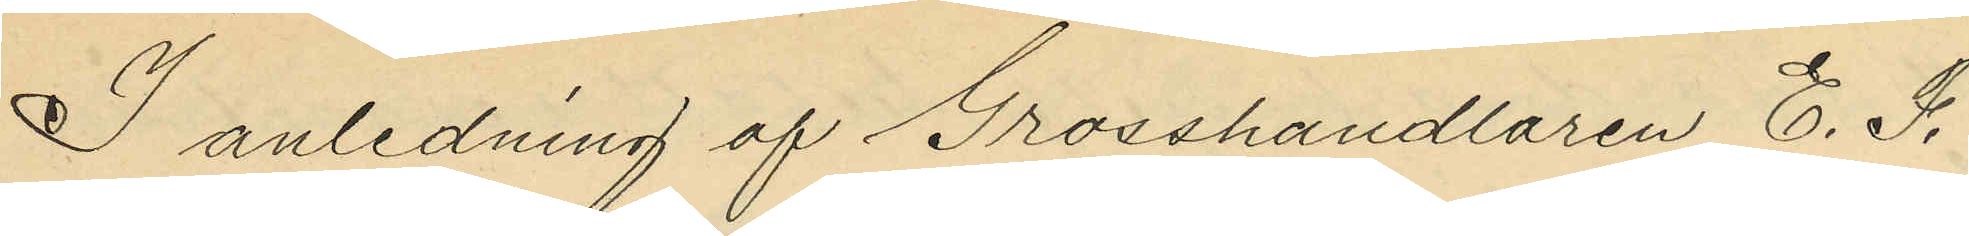I anledning af Grosshandlaren E. F.
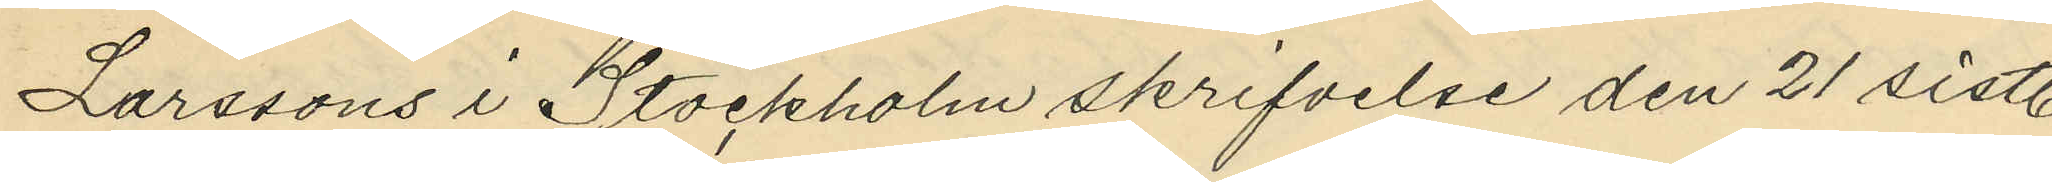Larssons i Stockholm skrifvelse den 21 sistl.
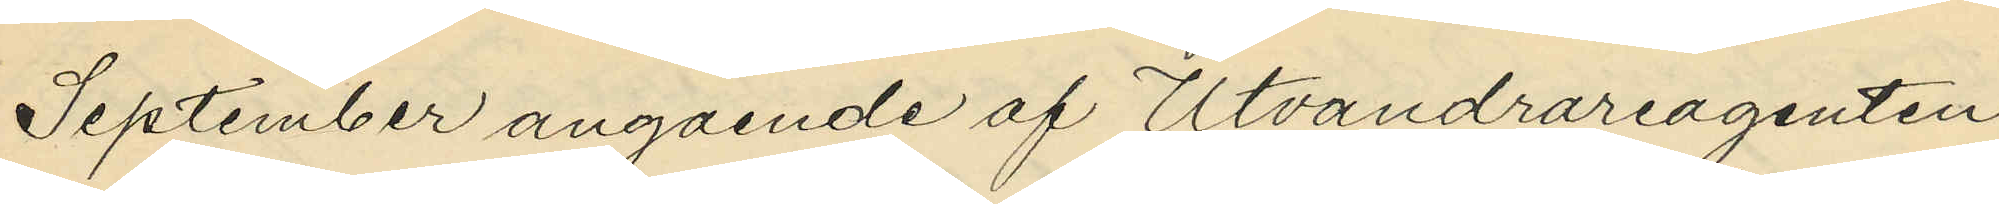September angående af Utvandrareagenten
